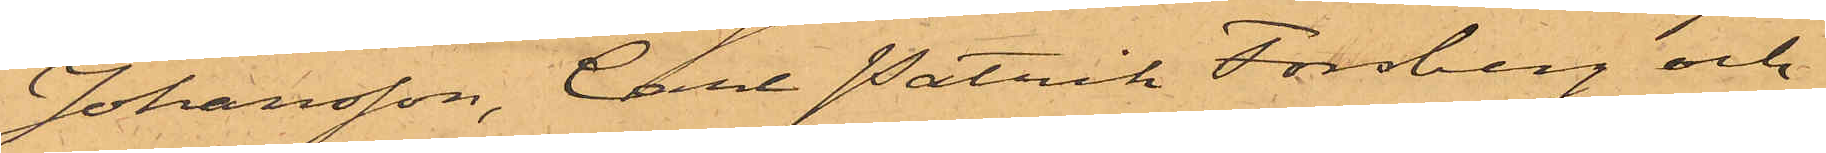Johansson, Carl Patrik Forsberg och
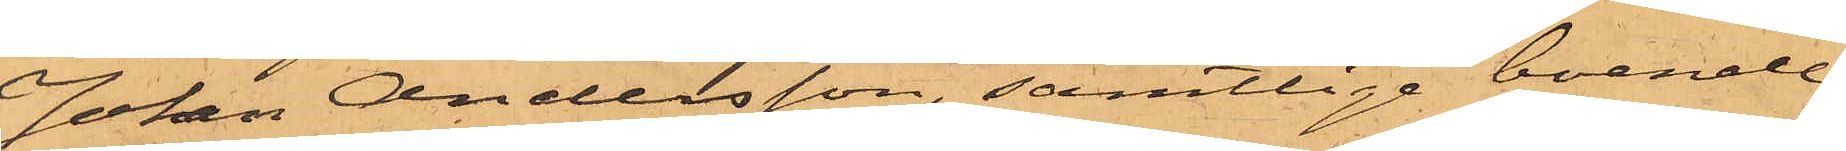Johan Andersson, samtlige boende
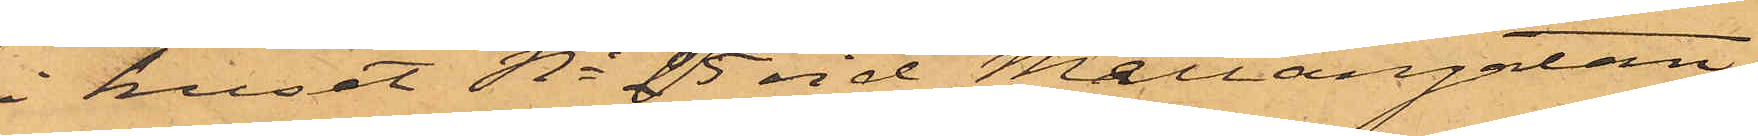i huset No 25 vid Mellangatan,
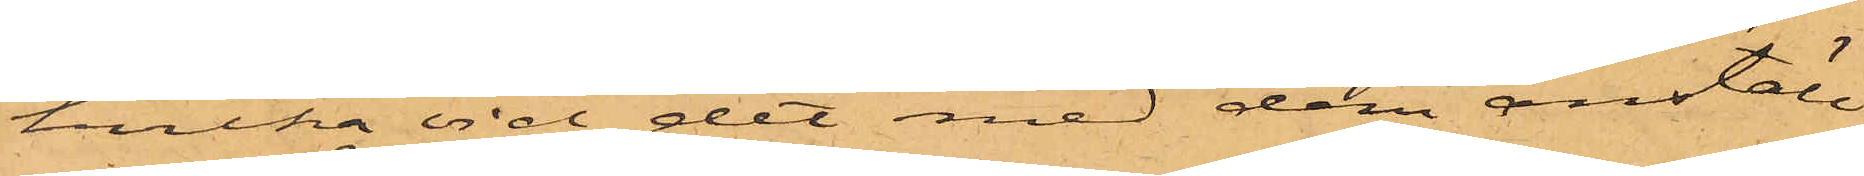hvilka vid det med dem anställ¬
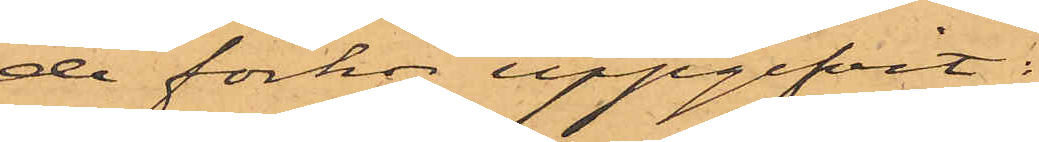de förhör uppgifvit:
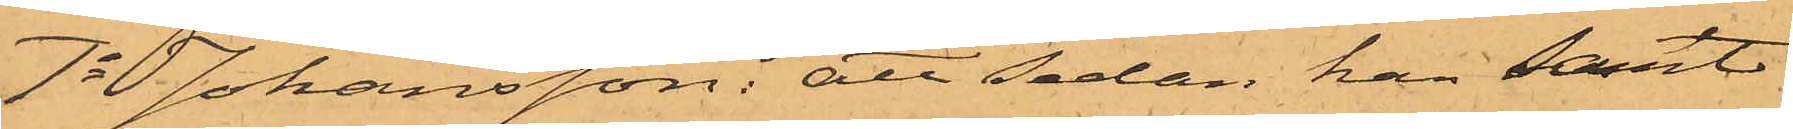1o Johansson: att sedan han samt
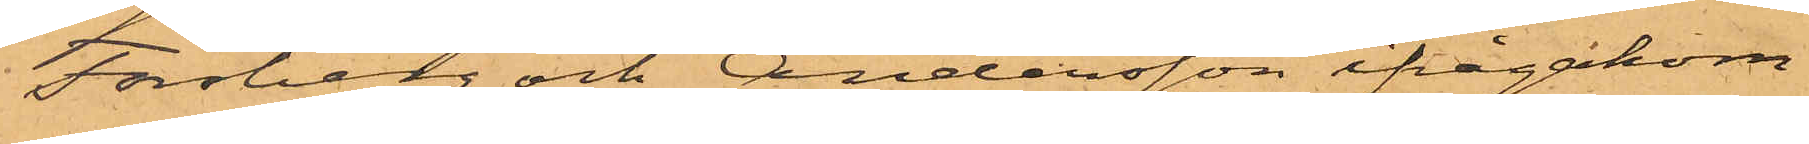Forsberg och Andersson ifrågakom¬
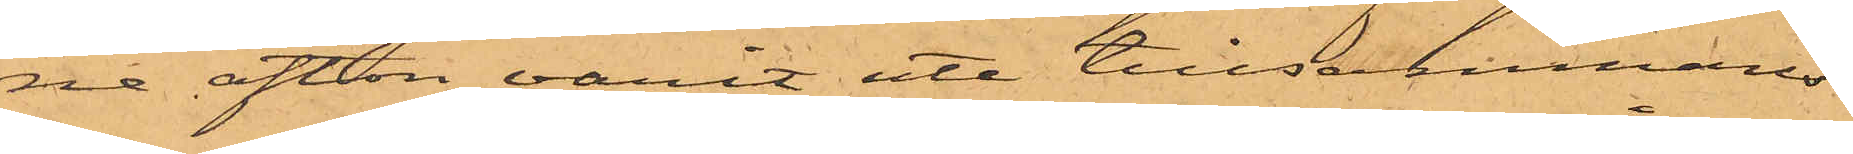ne afton varit ute tillsammans
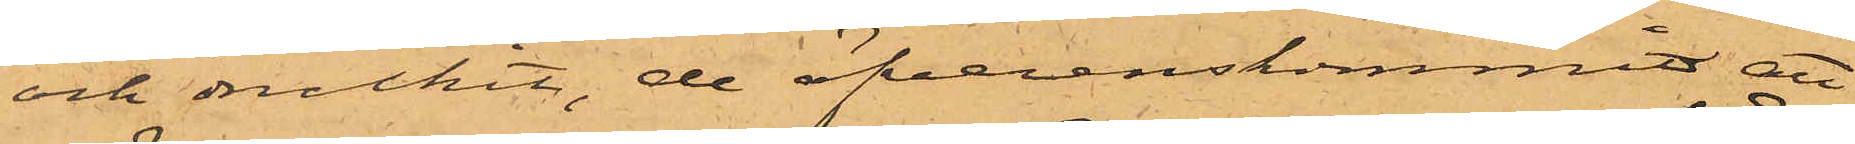och druckit, de öfverenskommit att
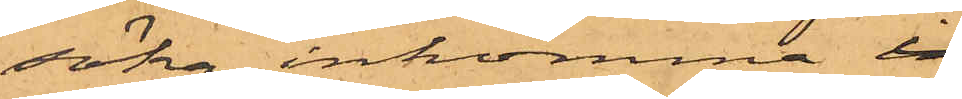söka inkomma i
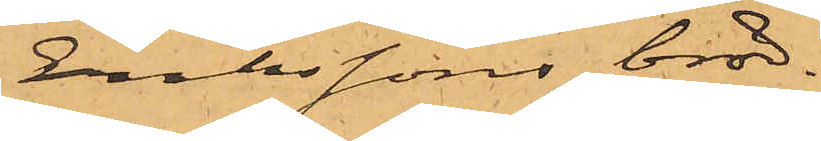Erikssons bröd¬
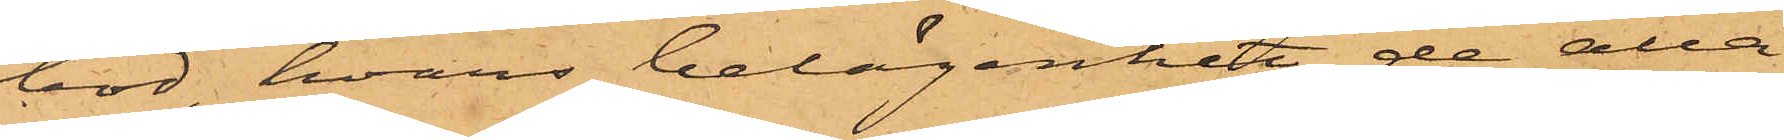bod, hvars belägenhet de alla
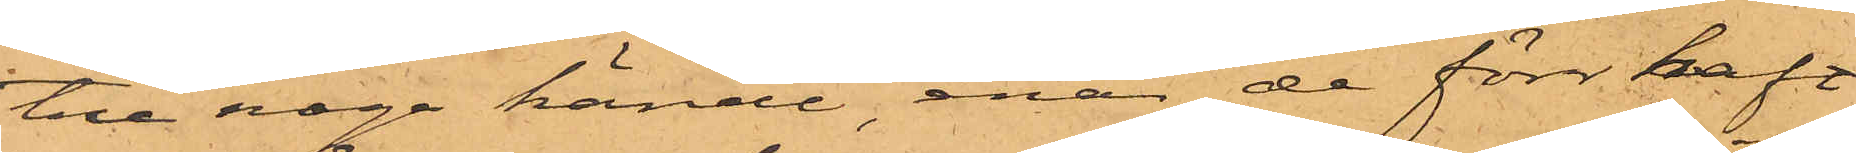tre noga kände, enär de förr haft
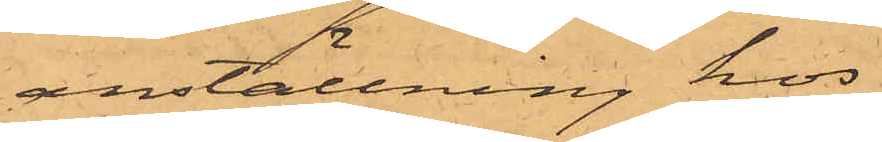anställning hos
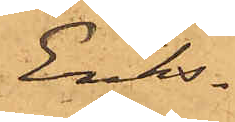Eriks¬
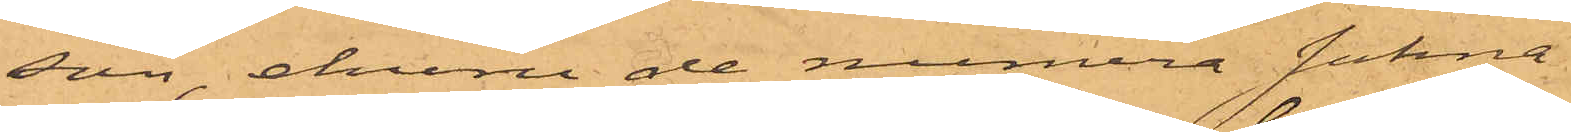son, ehuru de numera sakna
